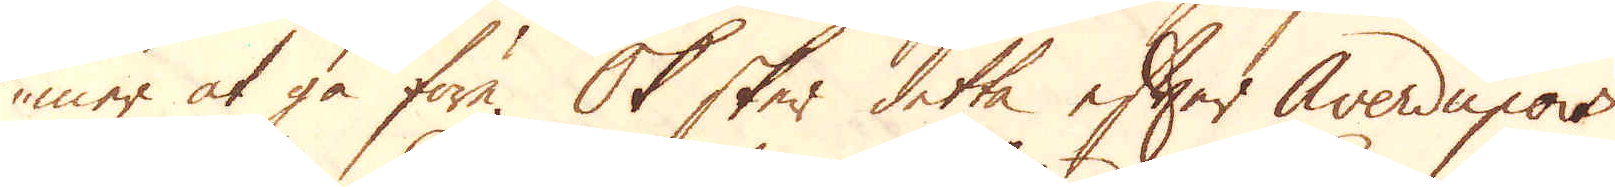mer at gå före. Ok sker detta efter Averdupois
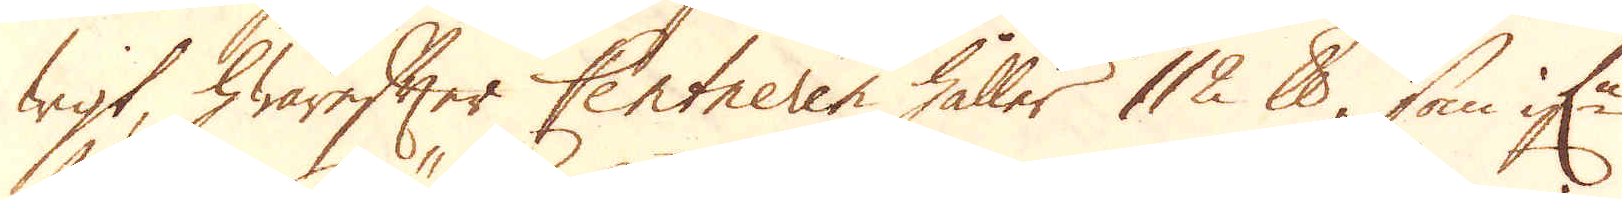wigt hwarefter Centneren håller 112 skålpund, som if:n
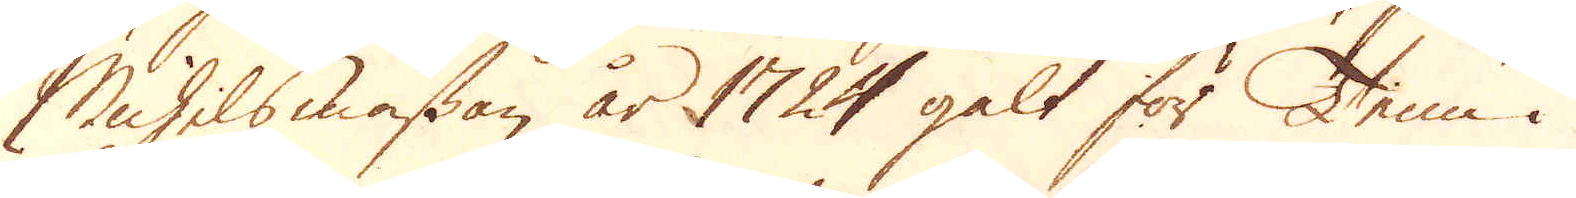Michilsmässan år 1724 galt för Tenn i
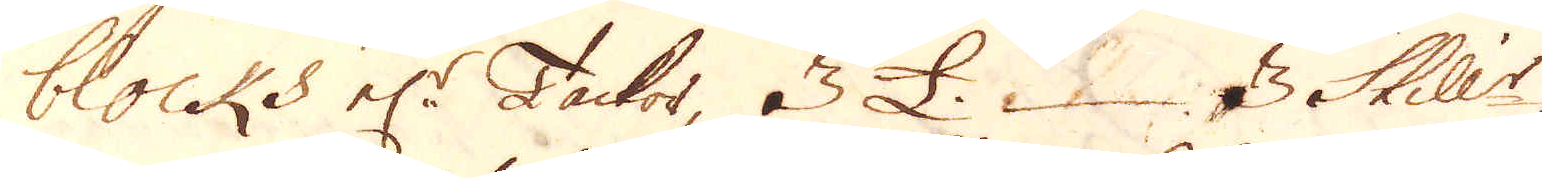blocks el:r Tackor, 3 £. 3 Skill:r
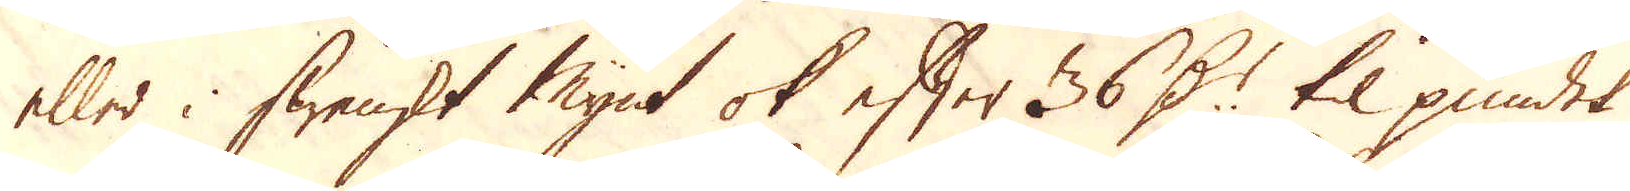eller i Swenskt Mynt ok efter 36 D:r til pundet
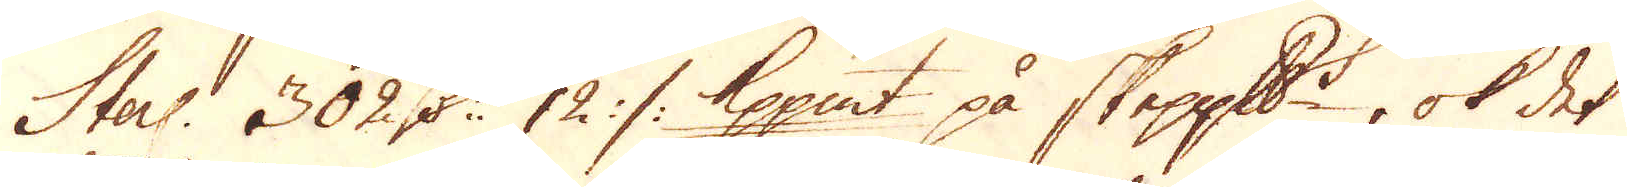Sterl: 302 D:r 12 :/: Kopp:mt på skeppundet, ok det
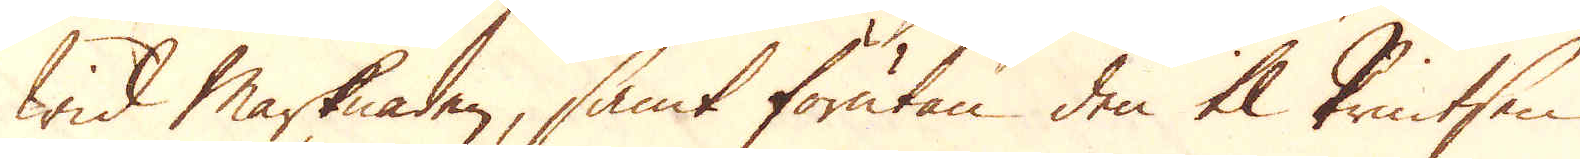Wid Marknaden, samt förutan den til Printsen
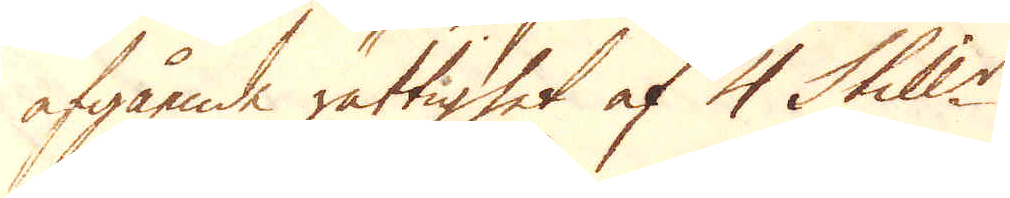afgående rättighet af 4 Skill:r.
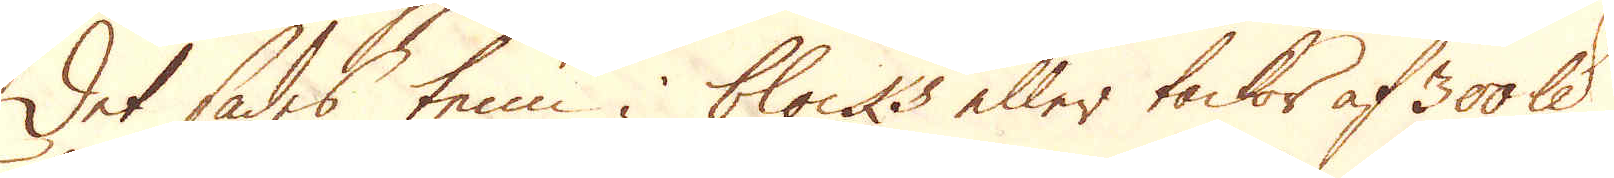Det sades tenn i blocks eller tackor af 300 skålpund
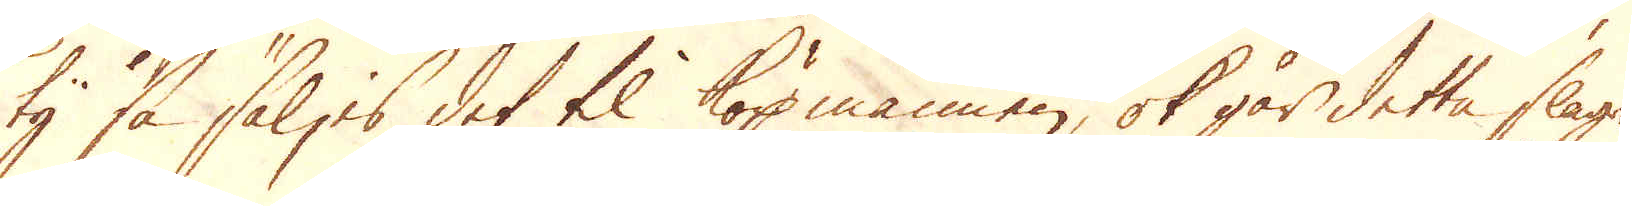ty så säljes det til köpmannen, ok går detta slags
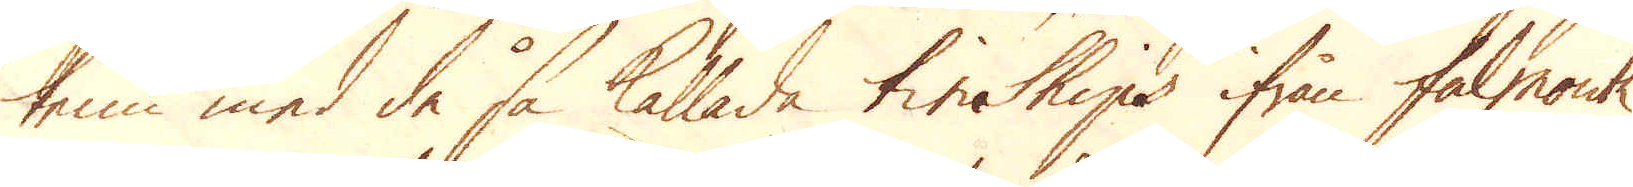tenn med de så kallade tin Ships ifrån Falmouth
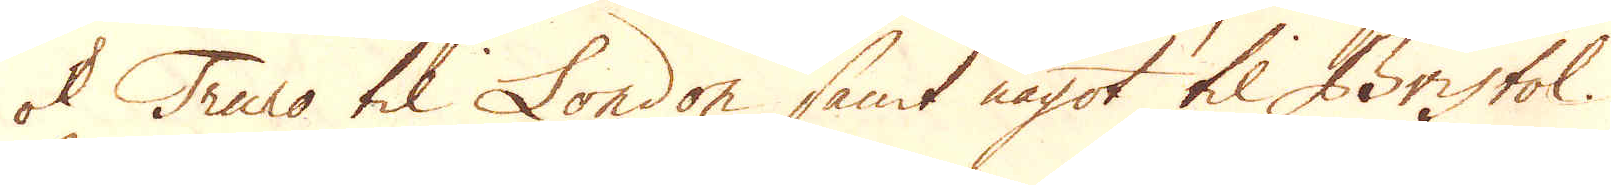ok Truro til London samt något til Bristol.
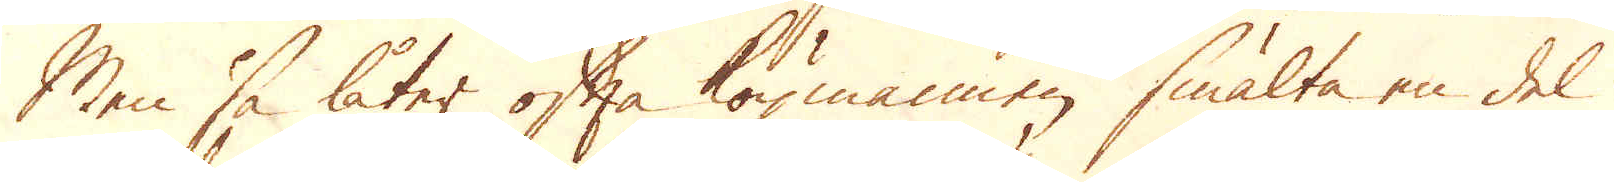Men så låter ofta köpmannen smälta en del
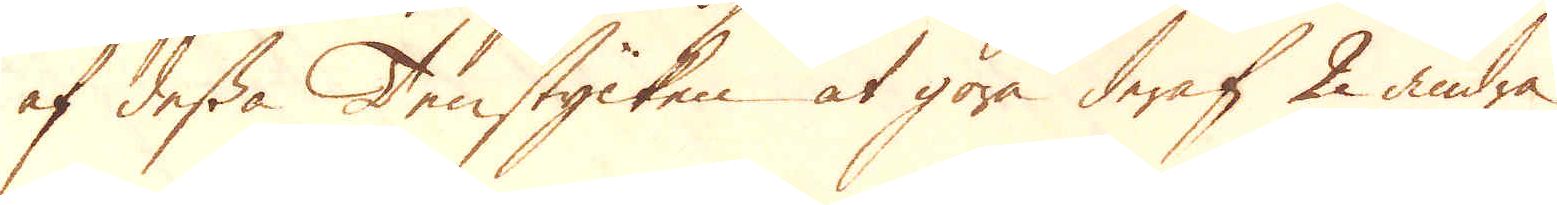af dessa Tenstycken at göra deraf 2 andra
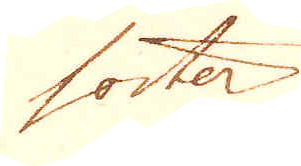sorter.
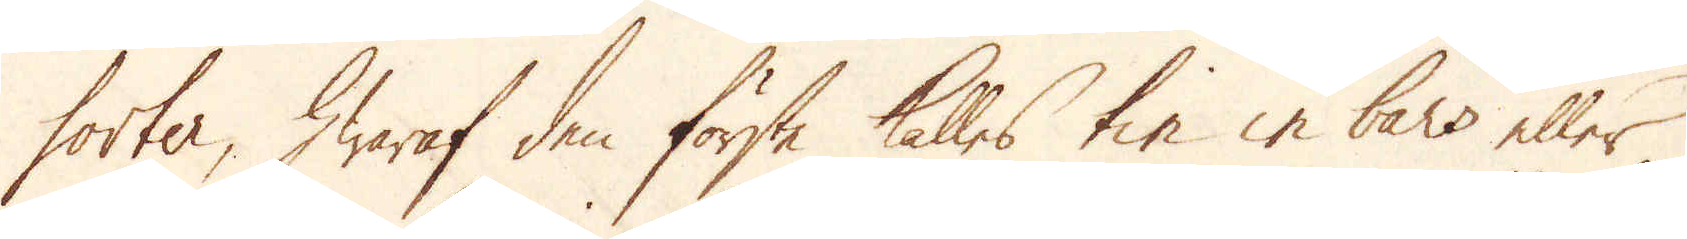sorter, hwaraf den första kallas tin in bars eller
